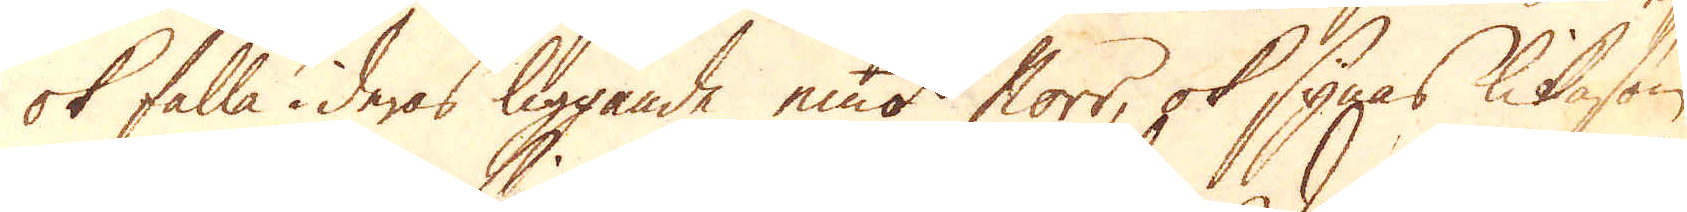ok falla i deras liggande emot Norr, ok synas lika som
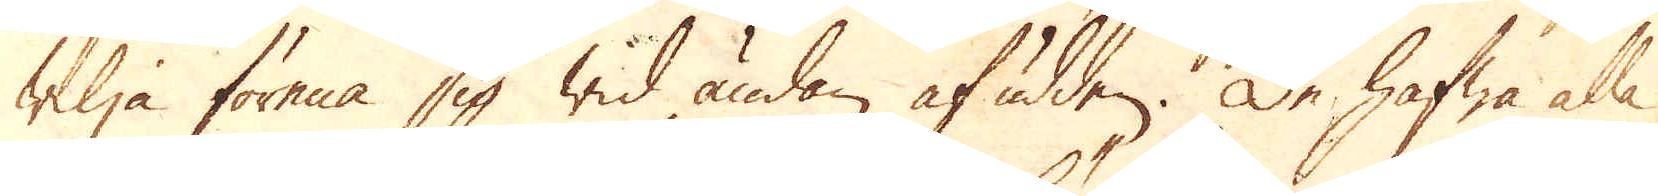wilja förena sig wid ändan af udden. De hafwa alla
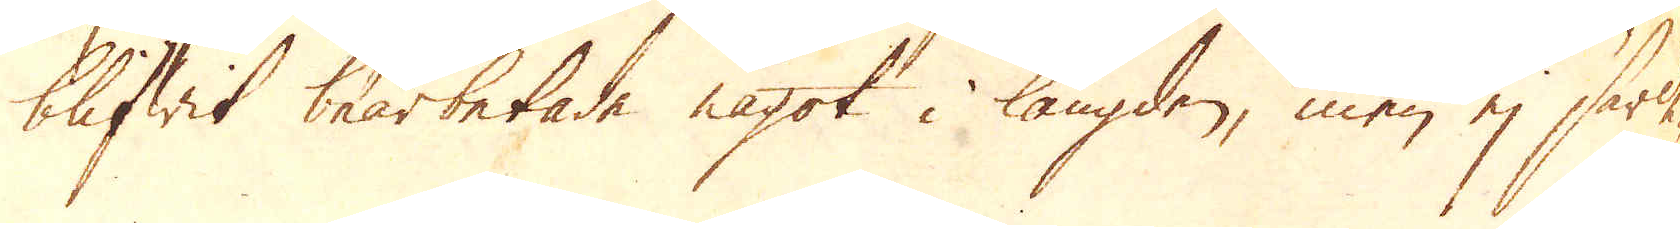blifwit bearbetade något i längden, men ej särde-
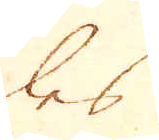les
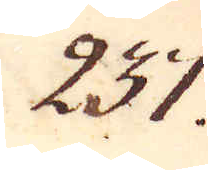237.
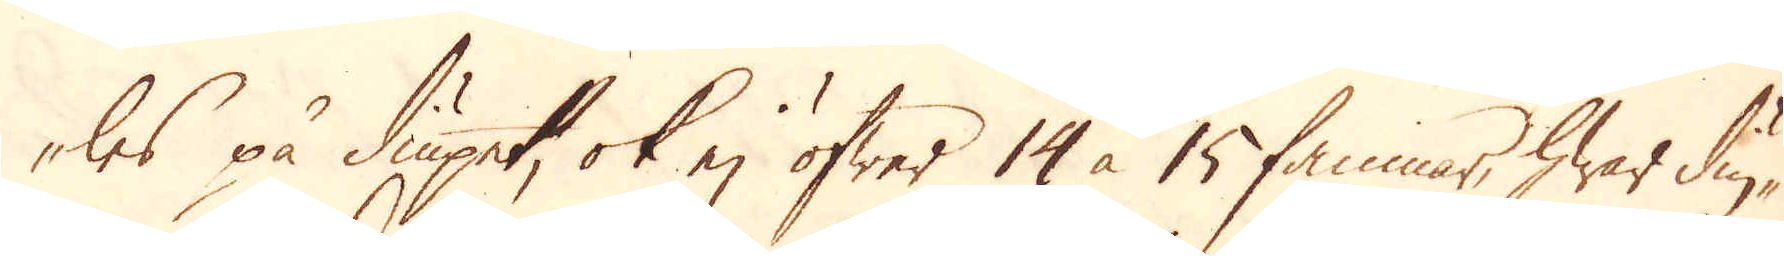les på diupet, ok ej öfwer 14 à 15 famnar, hwar diu-
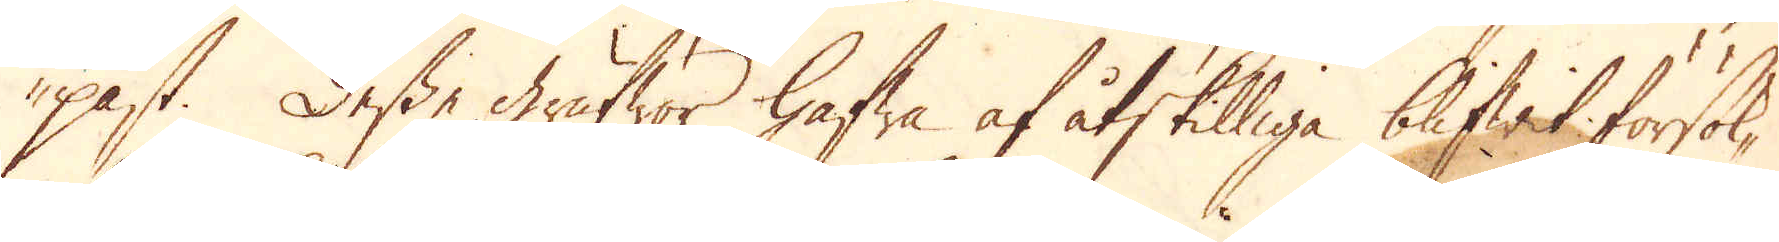past. Desse grufwor hafwa af åtskilliga blifwit försök-
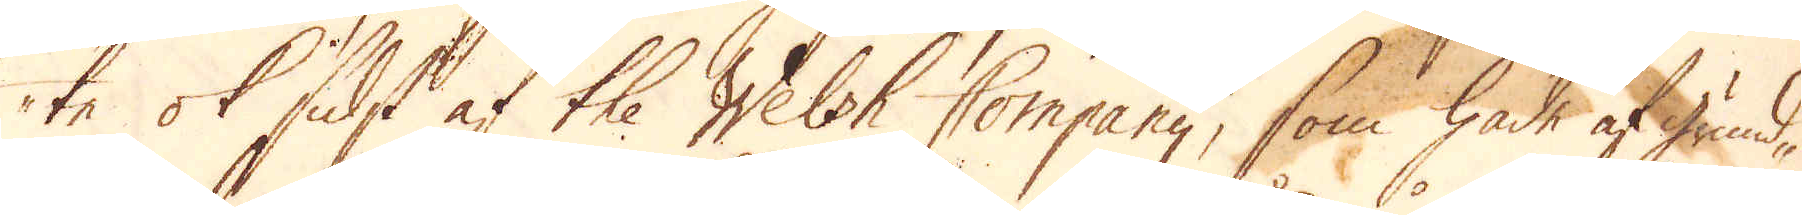te ok sidst af the Welsh Company, som hade af grund-
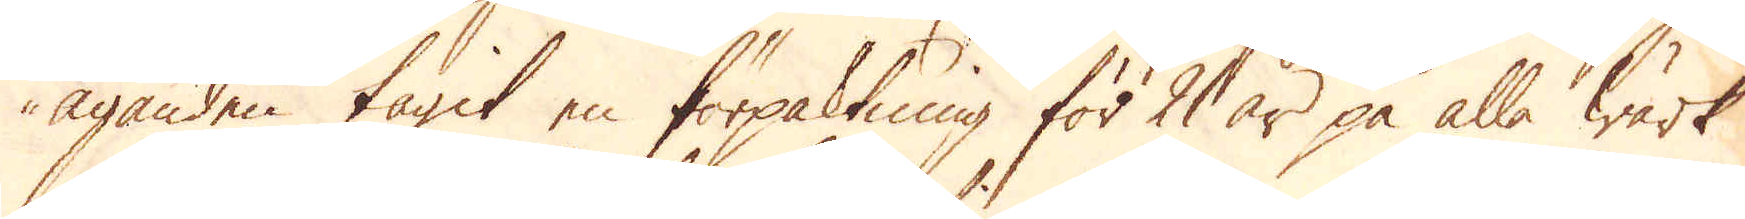äganden tagit en förpaktning för 21 år på alla Wärk
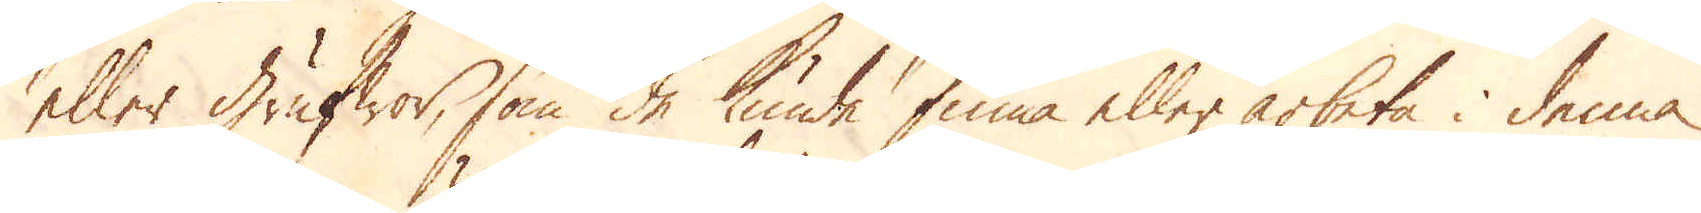eller grufwor, som de kunde finna eller arbeta i denna
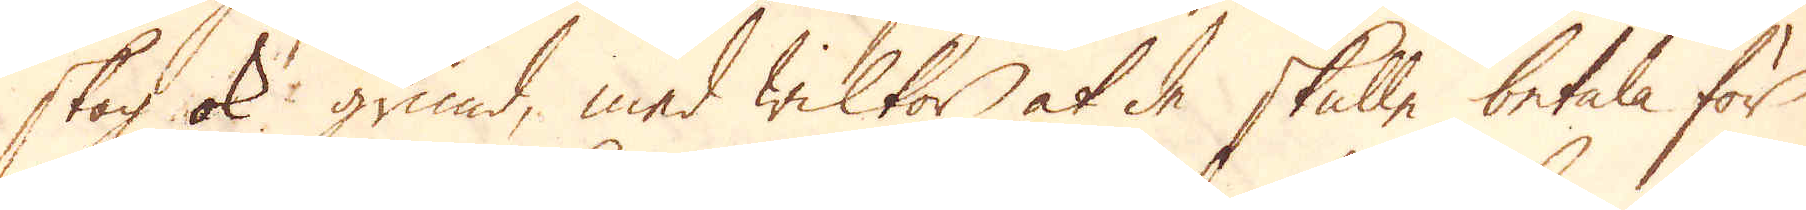skog ok grund, med wilkor at de skulle betala för
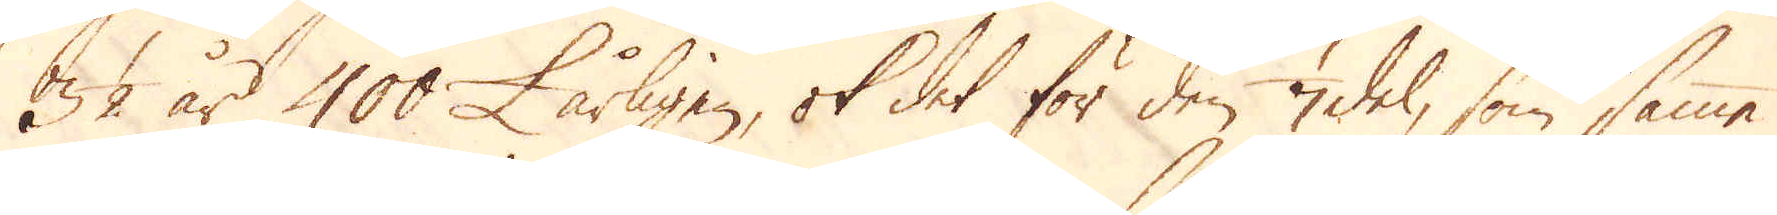32 år 400 £. årligen, ok det för den 1/7 del, som samma
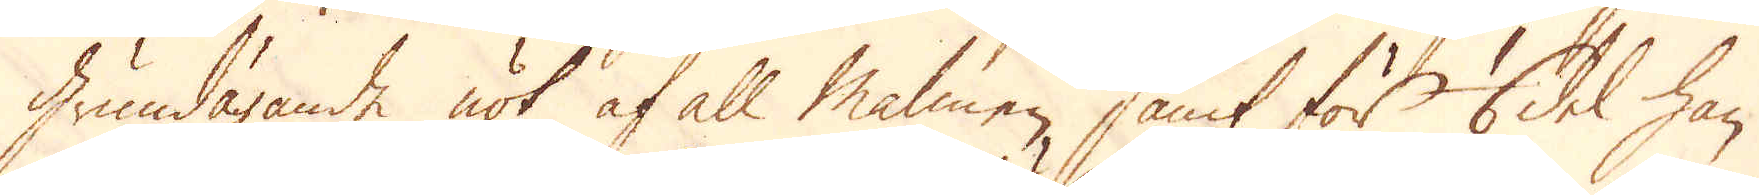Grundägande nöt af all malmen, samt för 1/6 del han
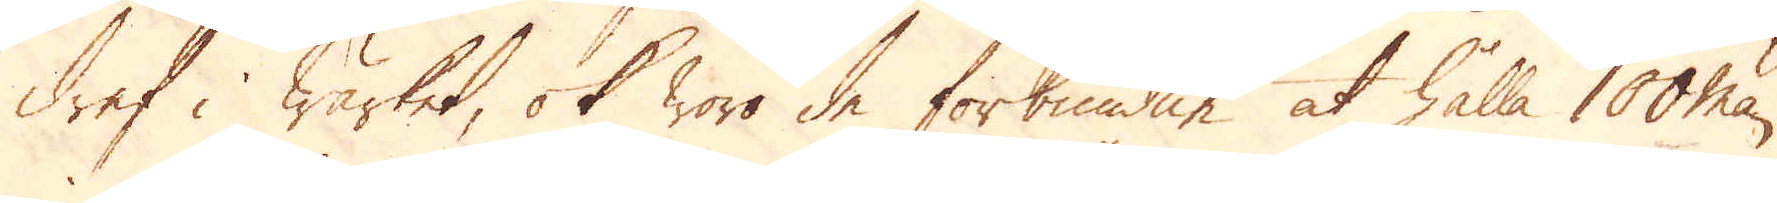dref i wärket, ok woro de förbundne at hålla 100 man
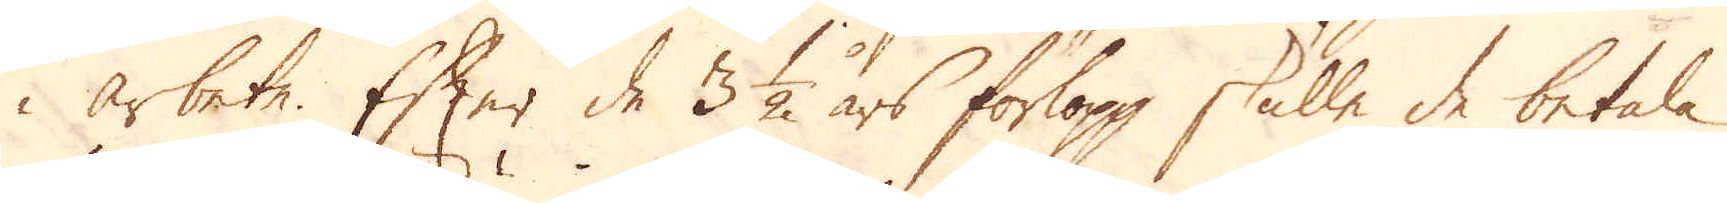i arbete. Efter de 3 1/2 års förlopp, skulle de betala
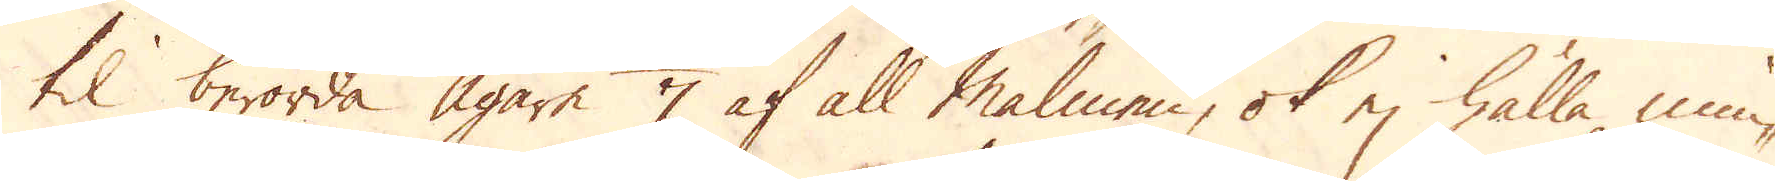til berörda Ägare 1/7 af all malmen, ok ej hålla min-
